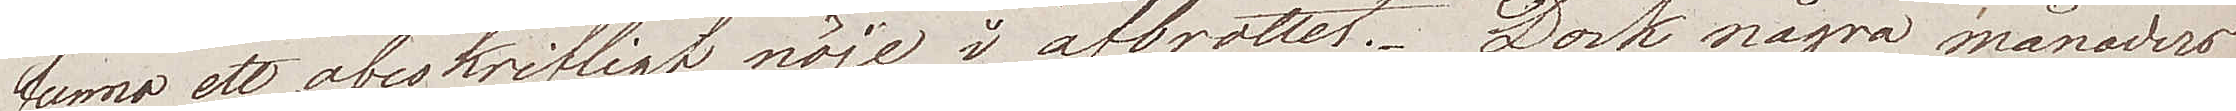funno ett obeskrifligt nöje i afbrottet. Dock några månaders
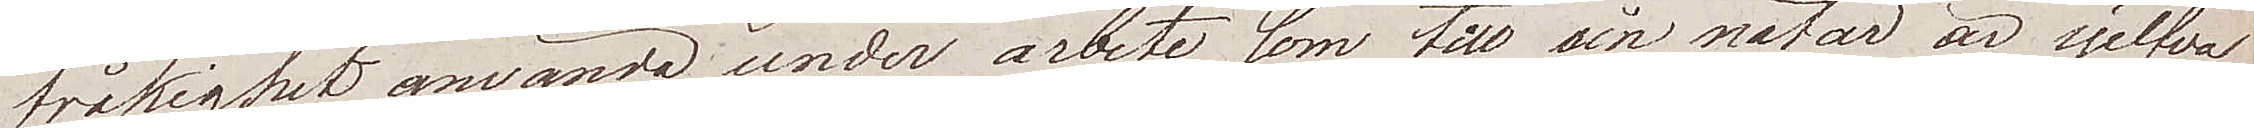tråkighet använda under arbete som till sin natur är sjelfva
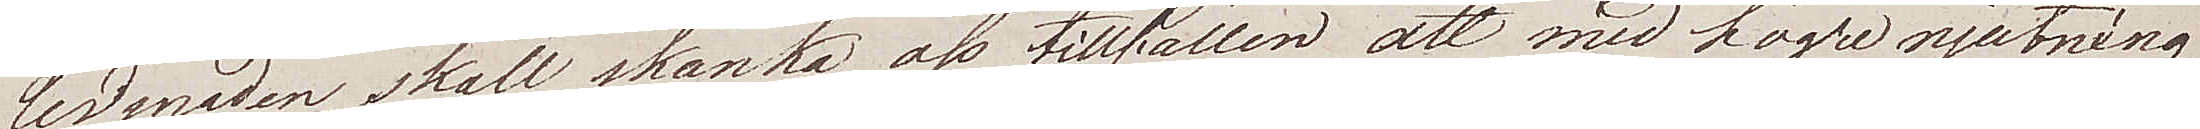ledsnaden, skall skänka oss tillfällen att med högre njutning
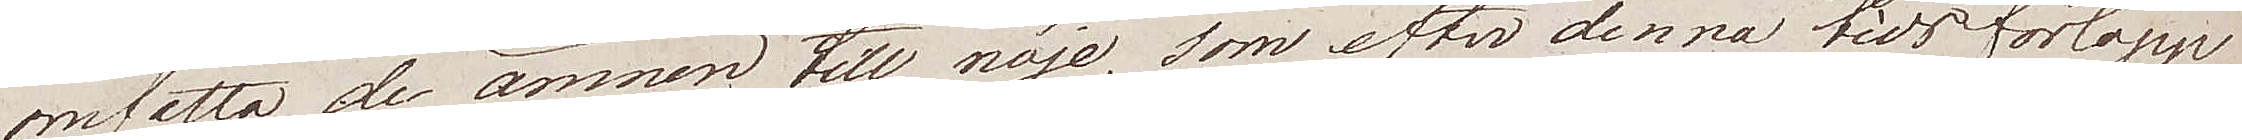omfatta de ämnen till nöje, som efter denna tids förlopp
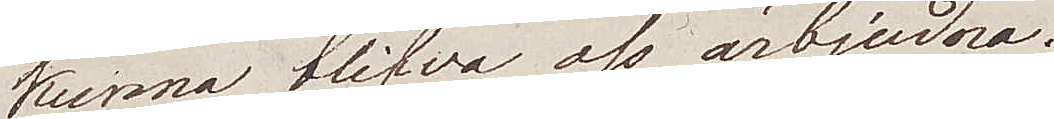kunna blifwa oss ärbjudna.
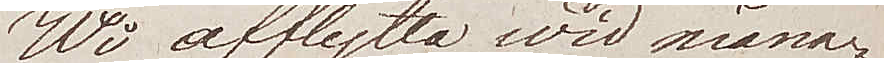Wi afflytta wid måna¬
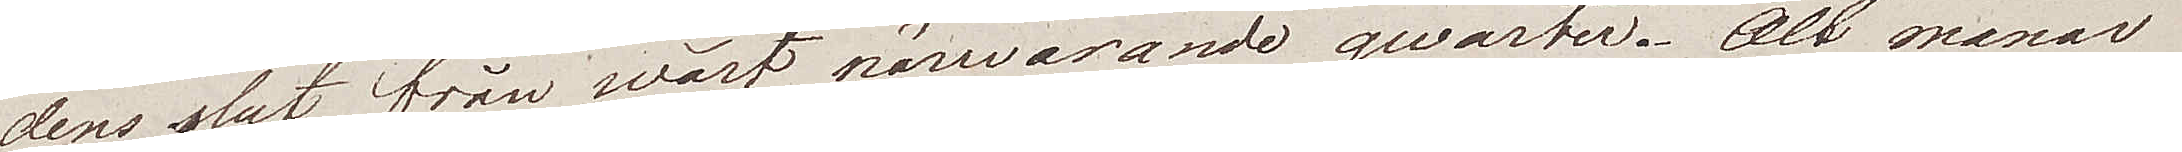dens slut från wårt närwarande quarter. Alt manar
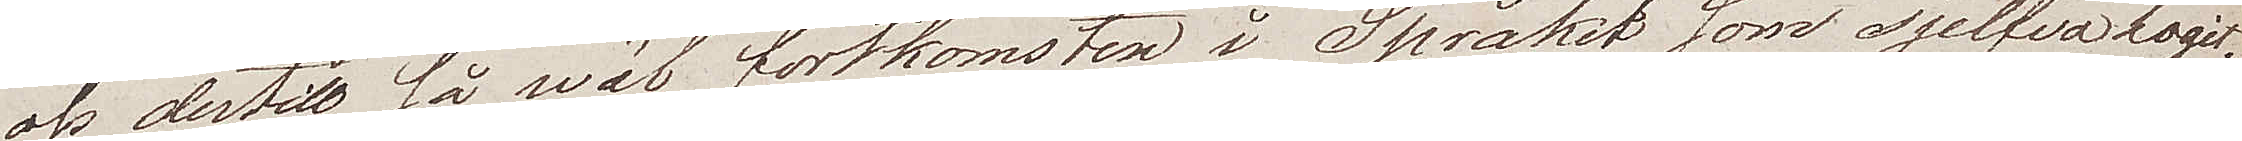oss dertill så wäl fortkomsten i Språket som sjelfva logit.
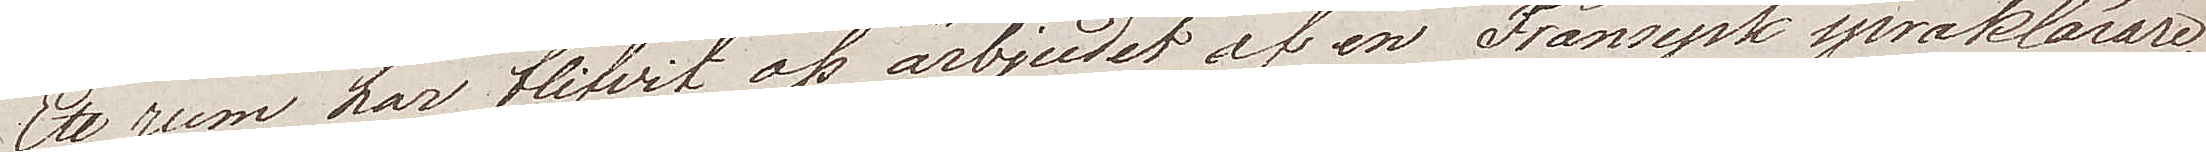Ett rum har blifvit oss ärbjudet af en Fransysk språklärare,
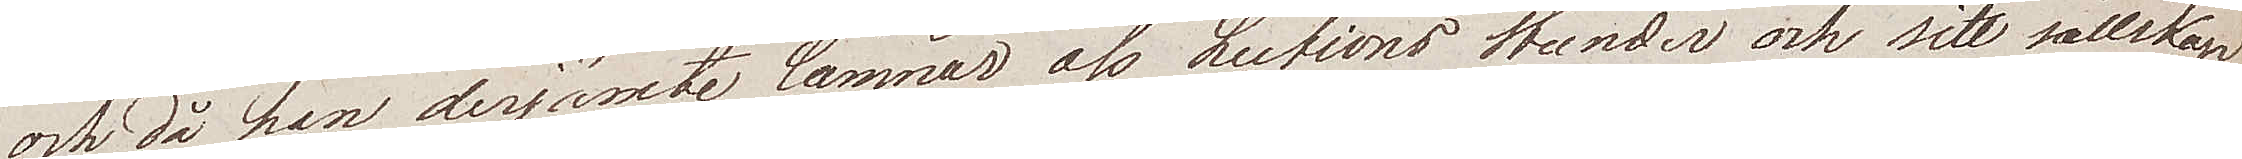och då han derjämte lämnar oss Lections stunder och sitt sällskap
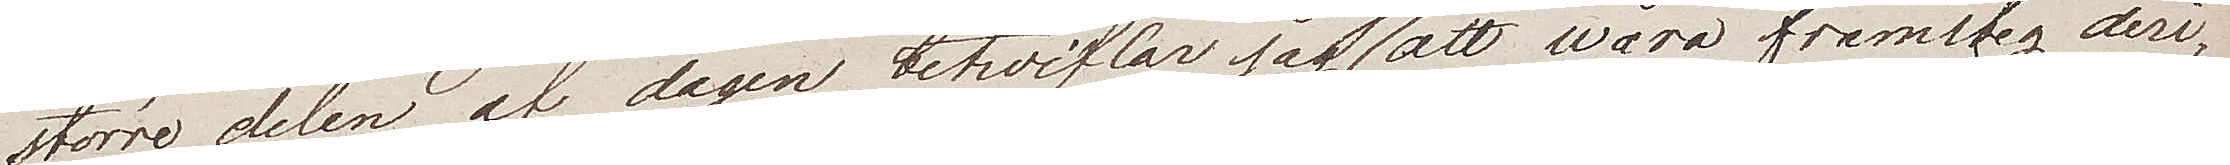större delen af dagen betviflar jag ej att wåra framsteg deri¬
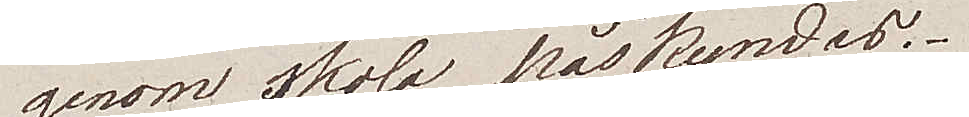genom skola påskyndas.
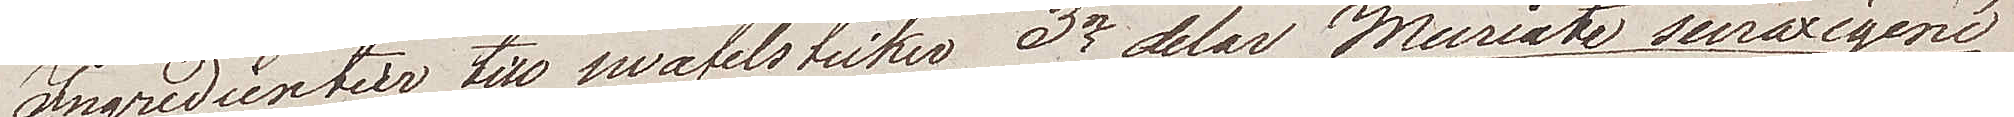Ingredientier till swafelsticker. 3e delar Muriate suroxigené
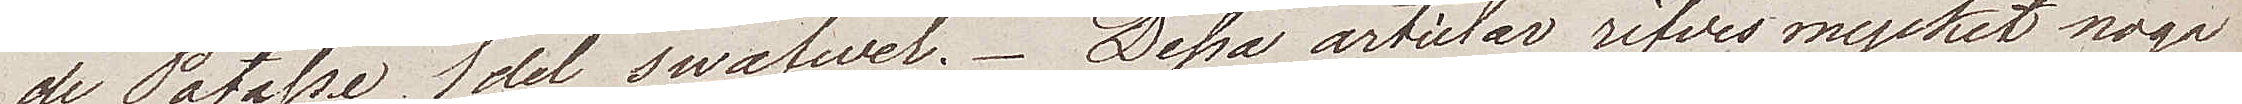de Potasse, 1 del swafwel. Dessa articlar rifves mycket noga
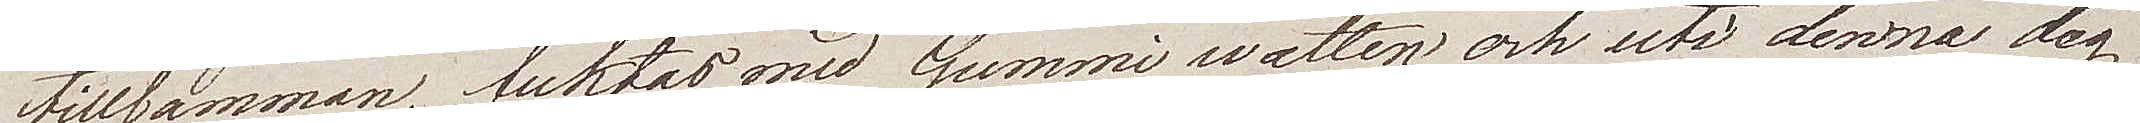tillsamman, fuktas med Gummiwatten och uti denna deg
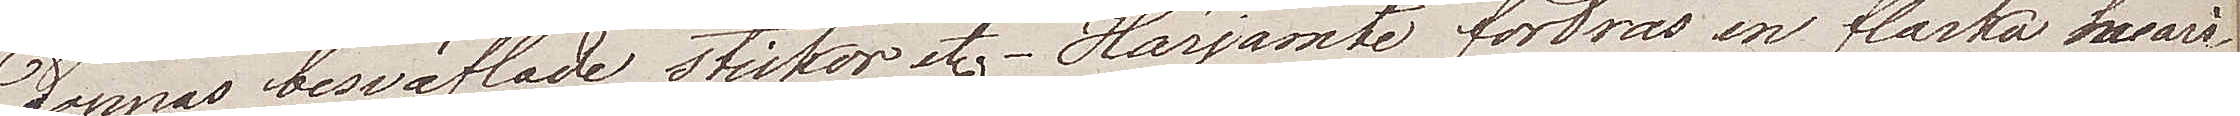doppas, besvaflade stickor etc. Härjämte fordras en flaska hwari
